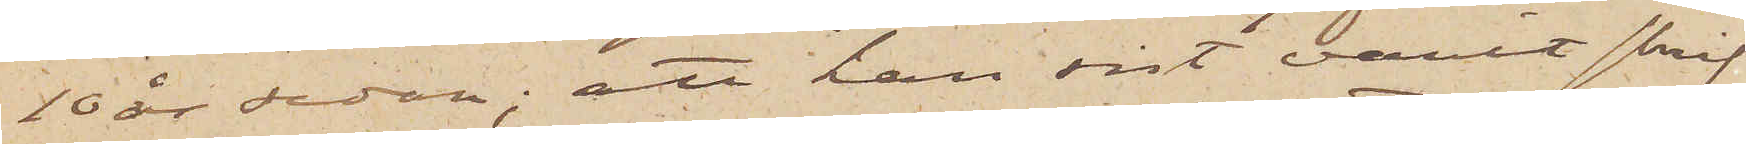10 år sedan; att han sist varit skrif¬
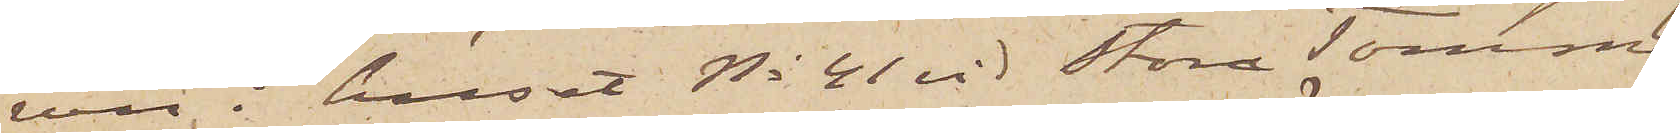ven i huset No 41 vid Stora Tomma¬
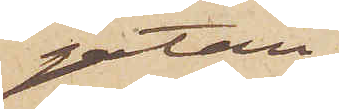gatan;
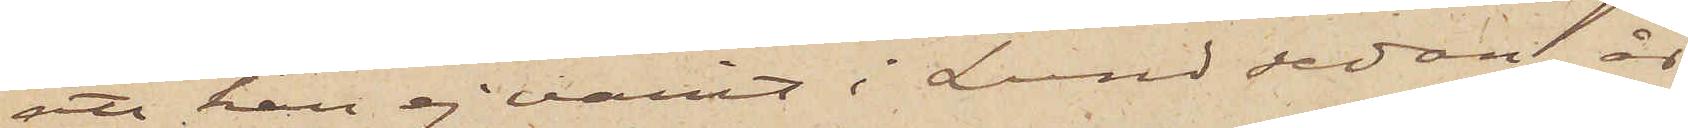att han ej varit i Lund sedan
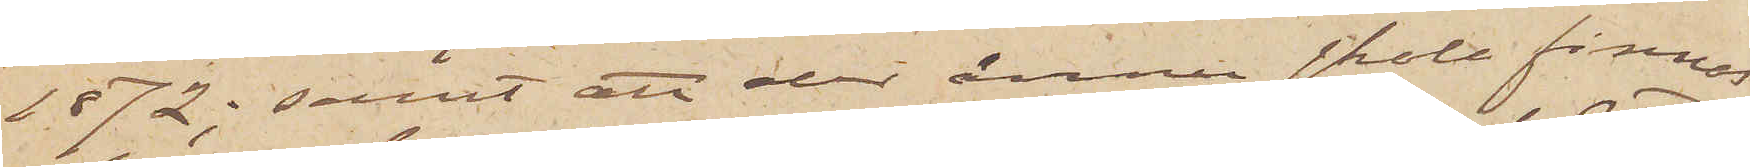1872; samt att der ännu skola finnas
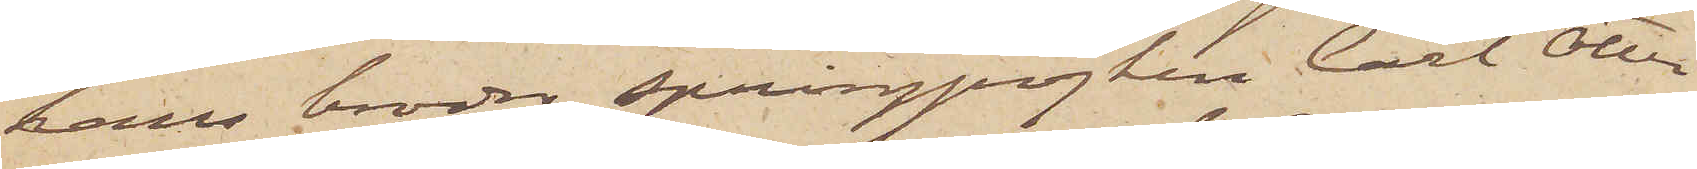hans broder springpojken Carl Otter¬
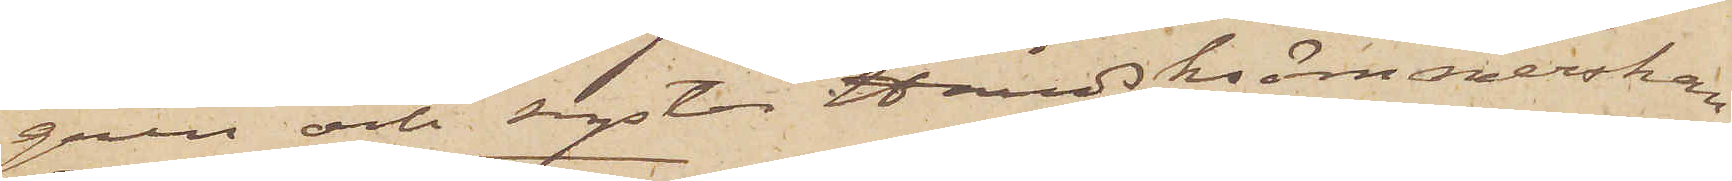gren och syster Handsksömmerskan
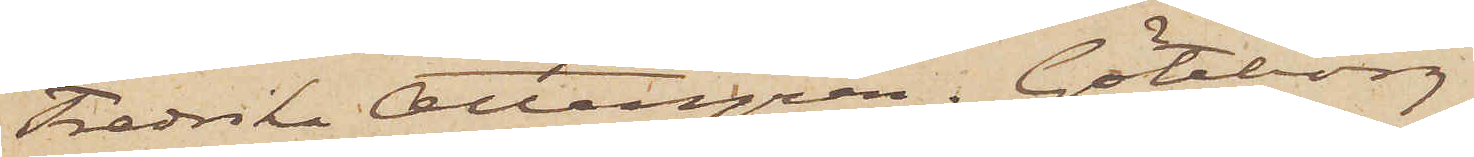Fredrika Ottergren. Göteborg
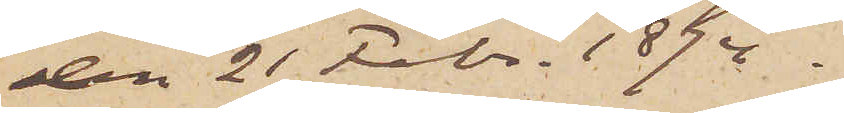den 21 Febr. 1874.
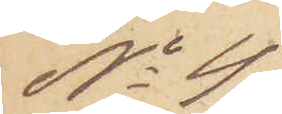No 4
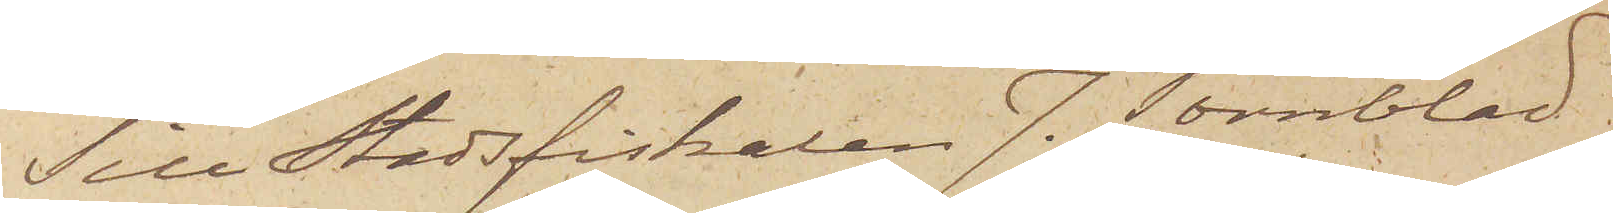Till Stadsfiskalen J. Törnblad.
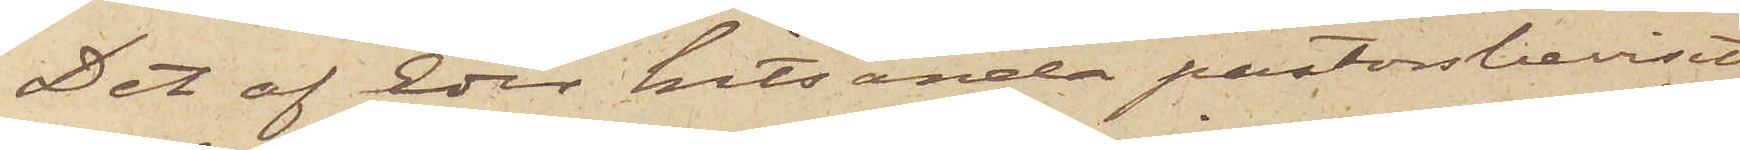Det af Eder hitsända pastorsbeviset
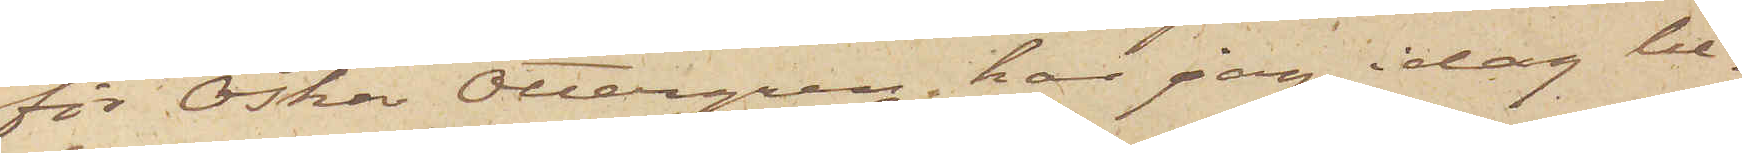för Oskar Ottergren har jag idag be¬
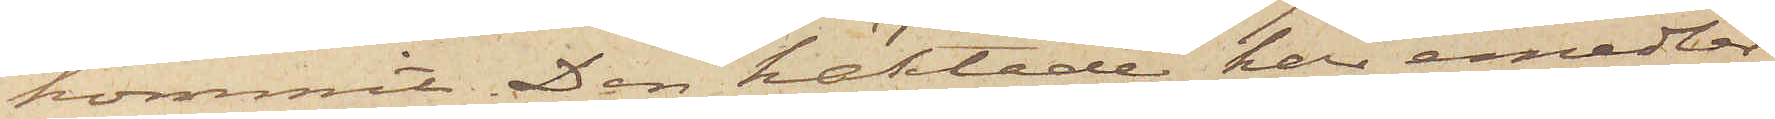kommit. Den häktade har emedler¬
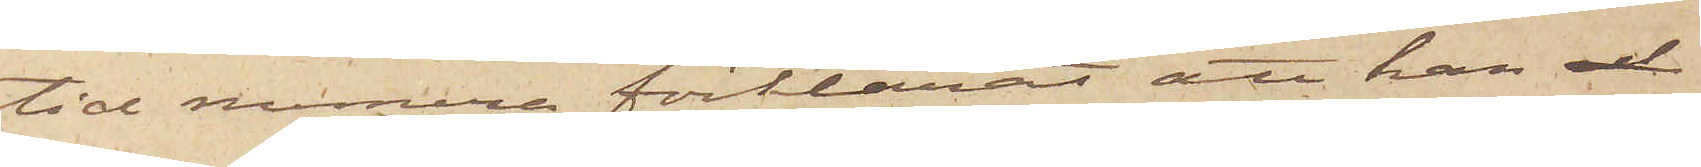tid numera förklarat att han och
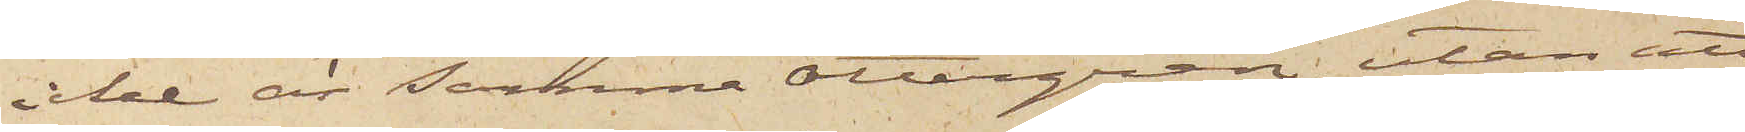icke är samma Ottergren, utan att
